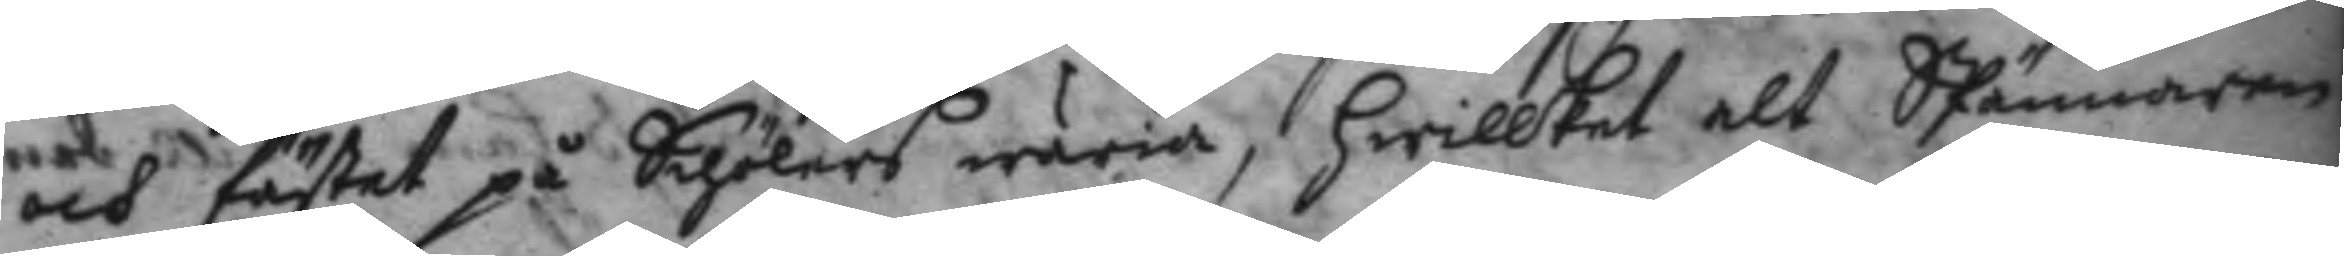och fästet på Schölers wäria, hwilket alt Spännaren
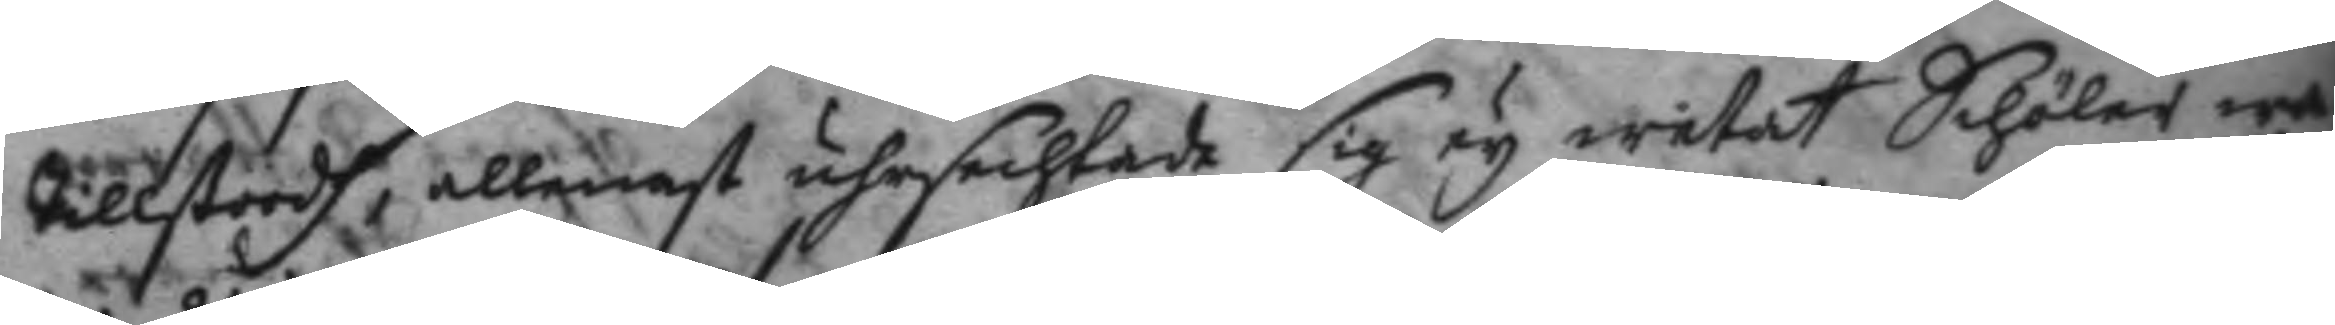tillstodh, allenast uhrsechtade sig ey wetat Schöler wa¬
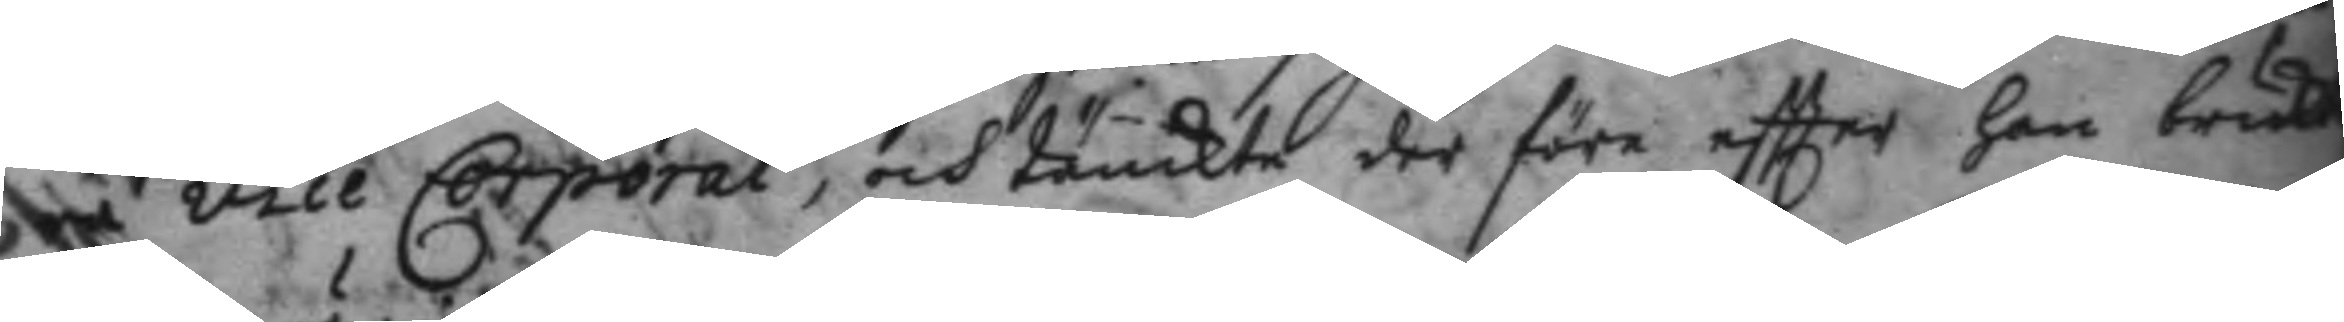ra vice Corporal, och tänkte der före eftter han brukat
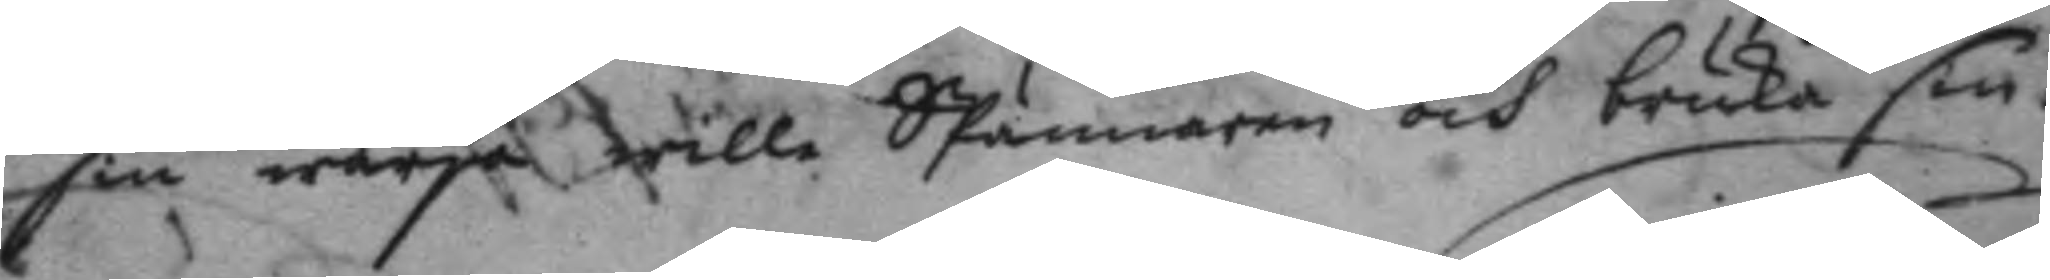sin wärja wille Spännaren och bruka sin.
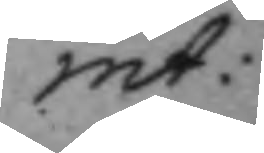int:
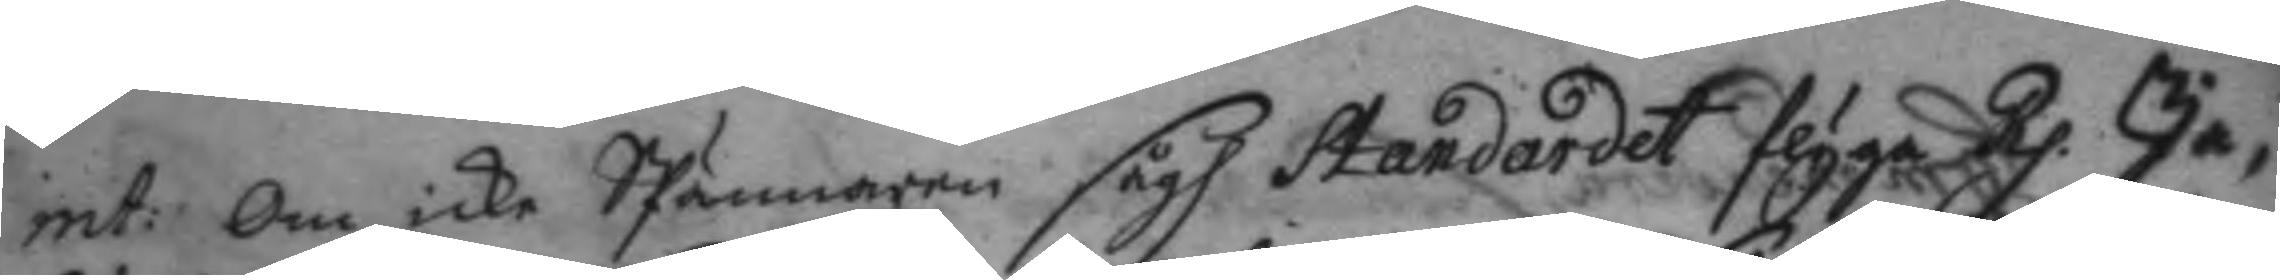int: Om icke Spännaren sågh Standardet flyga Rp. Ja, 
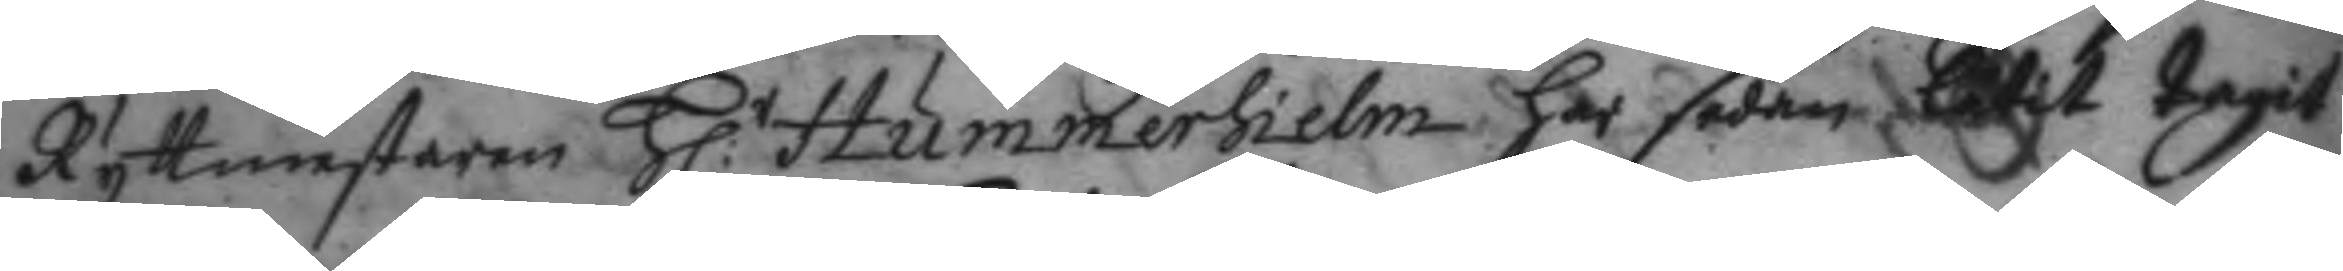Ryttmestaren H:r Hummerhielm har sedan låtit tagit
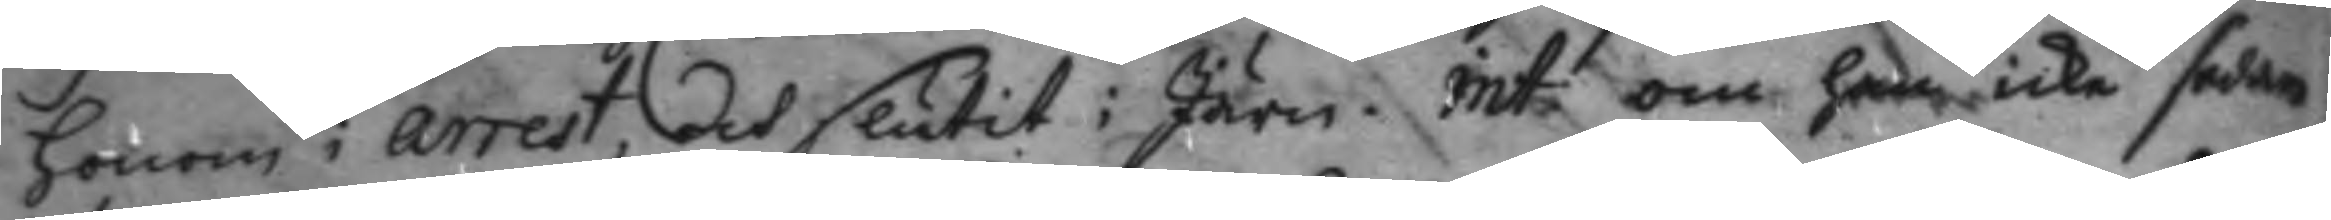honom i arrest, och slutit i Järn. int: om han icke sedan
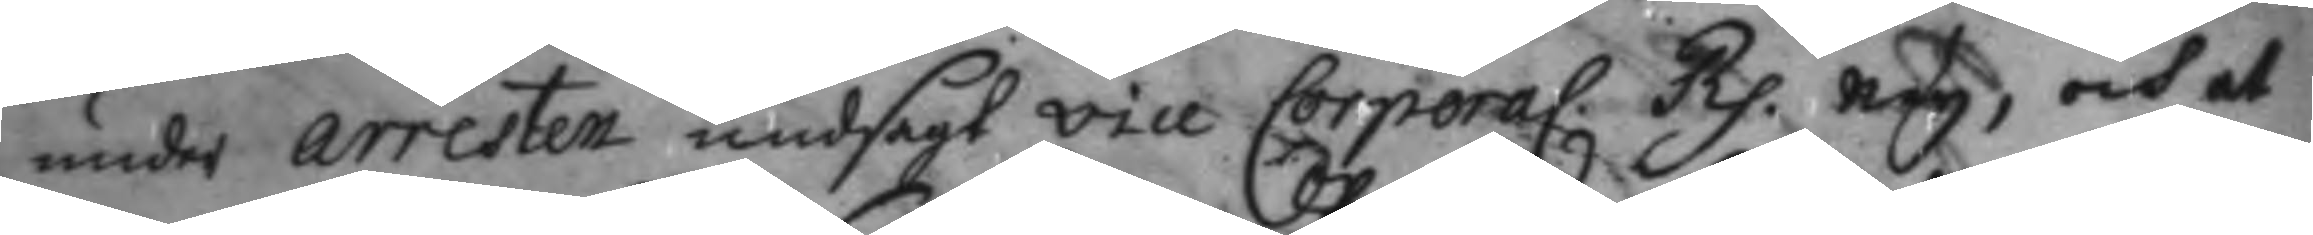under arresten undsagt vice Corporal. Rp. ney, och at
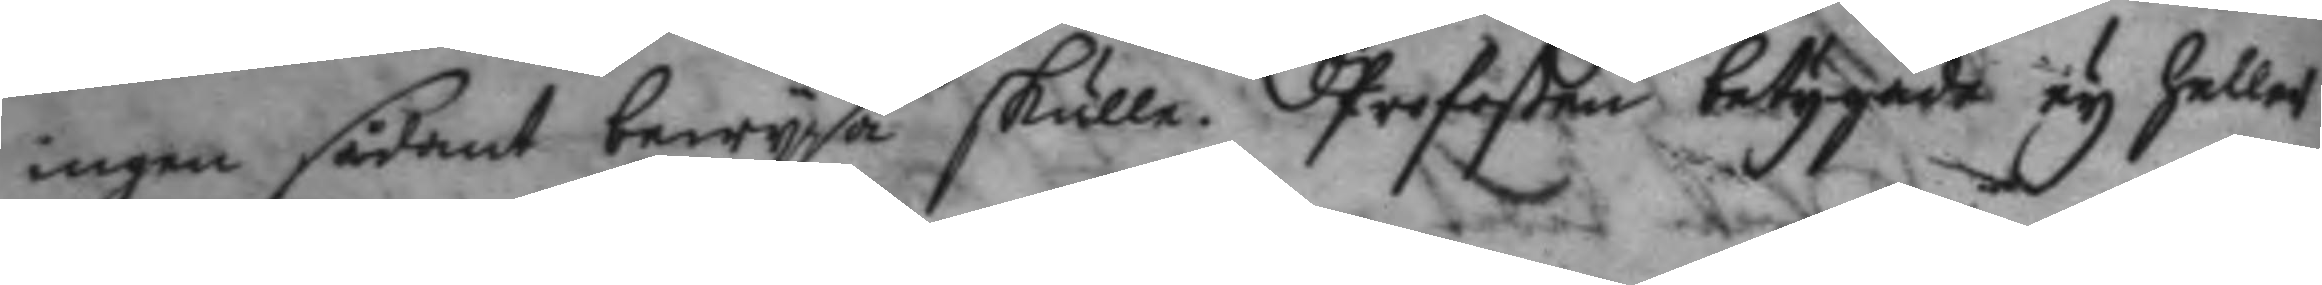ingen sådant bewysa skulle. Profoßen betygade ey heller
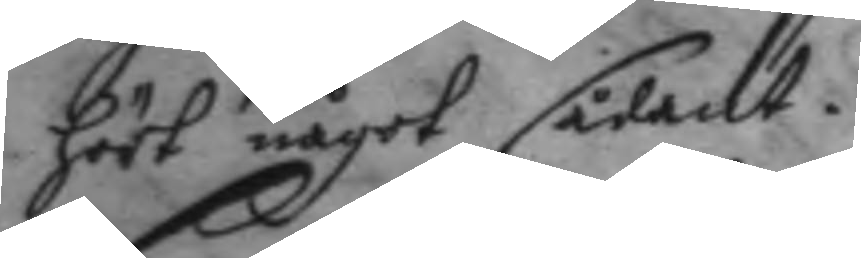hört något sådant.
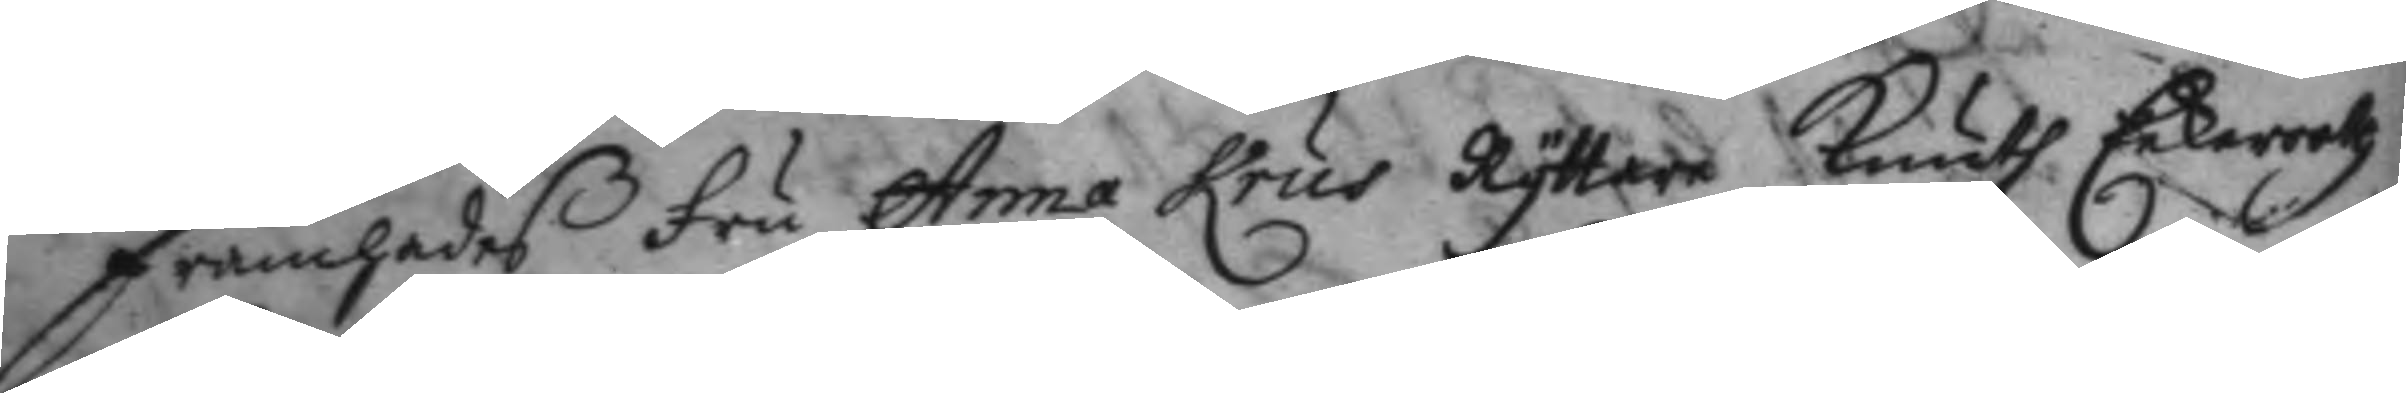Framhades fru Anna Krus Ryttare Knudh Eekerooth
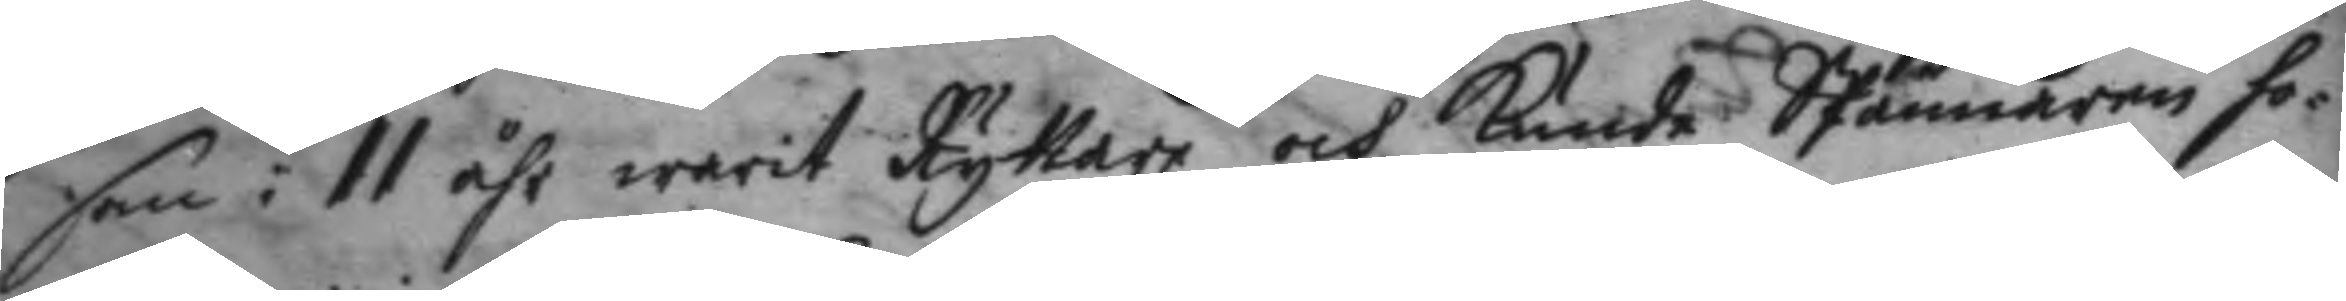som i 11 åhr warit Ryttare och kände SPännaren ho¬
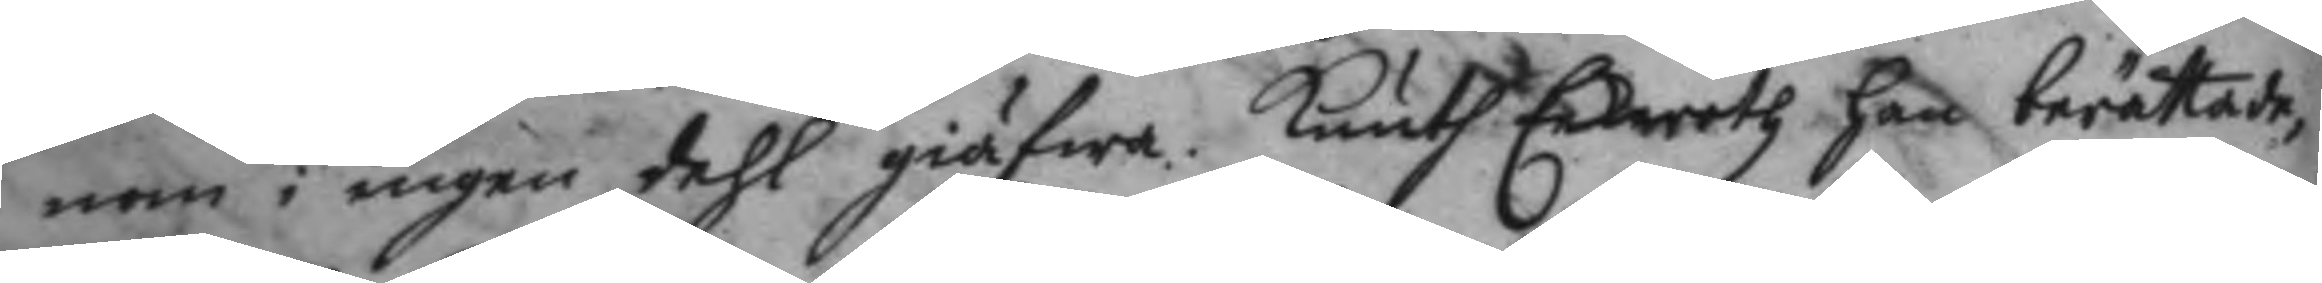nom i ingen dehl giäfwa. Knuth Eeketoth han berättade,
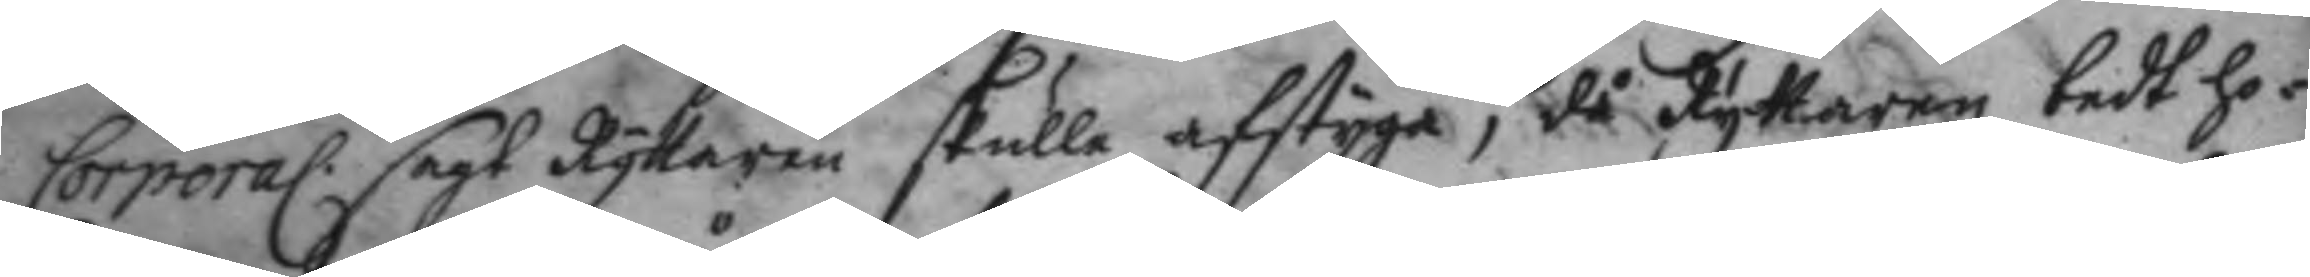Corporal sagt Ryttaren skulle afstyga, då Ryttaren bedt ho¬
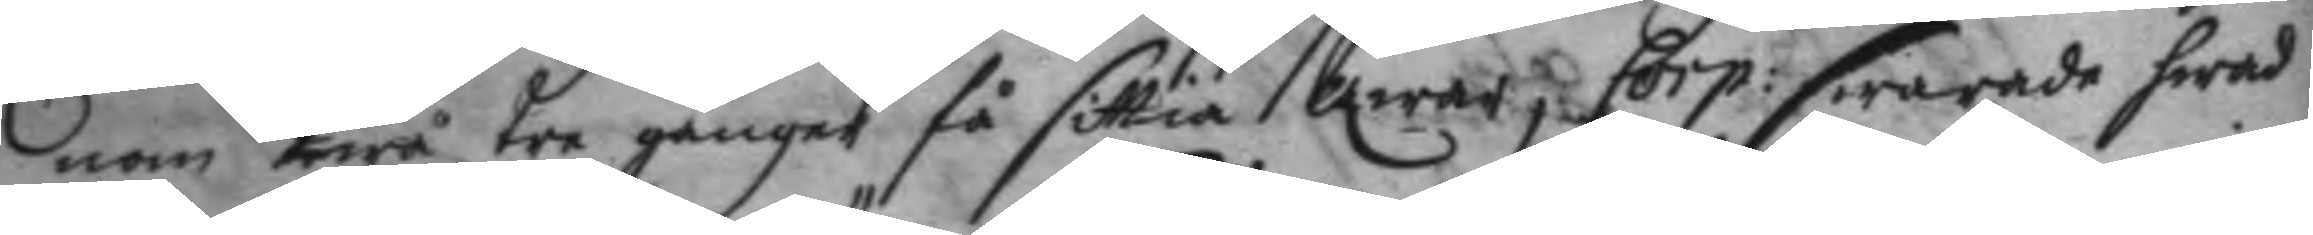nom twå tre gånger få sittia qwar, Corp: swarade hwad
